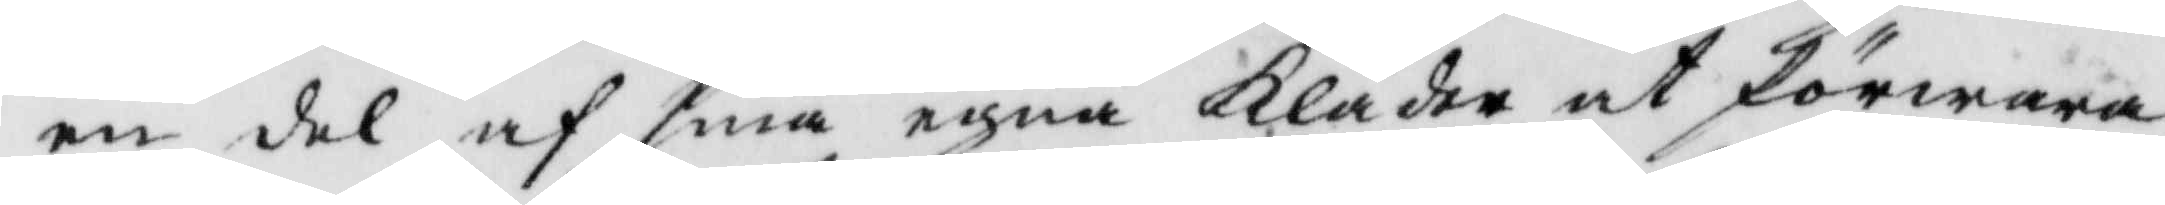en del af sina egna Kläder af förwara
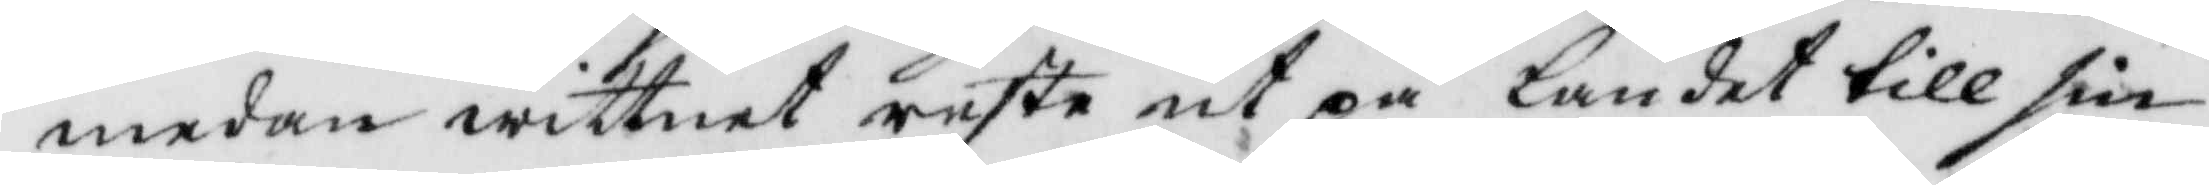medan wittnet reste ut på landet till sin
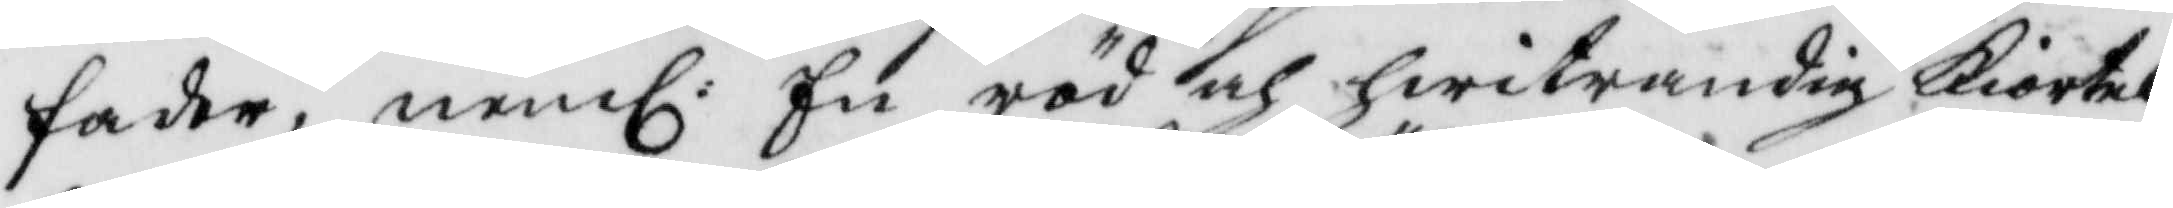fader, nembl: En röd och hwitrandig kiortel,
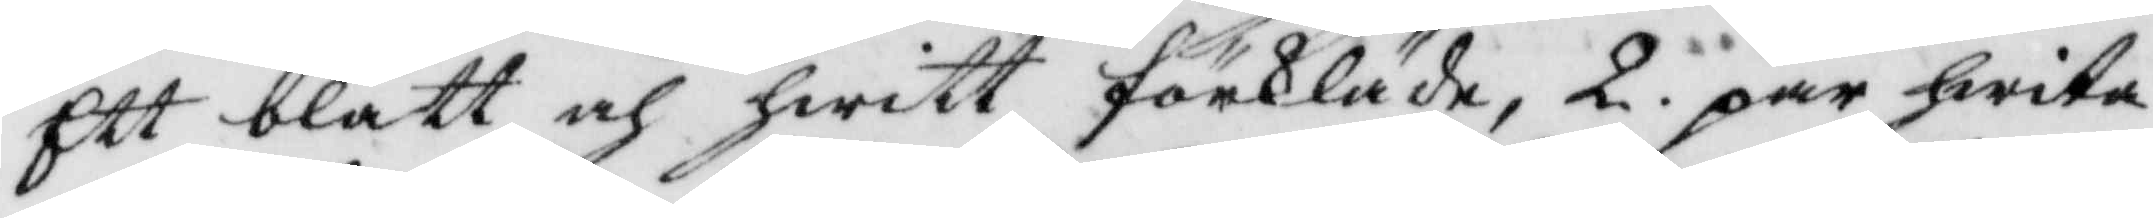Ett blått och hwitt förkläde, 2. par hwita
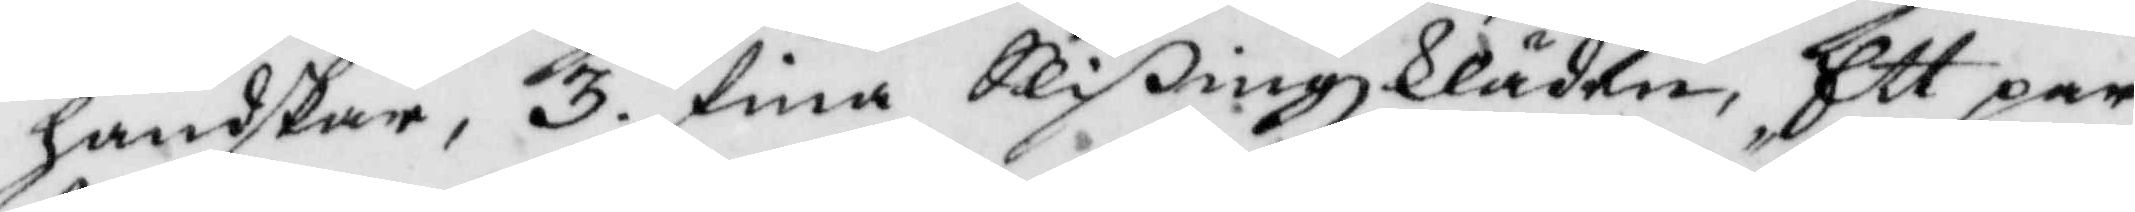handskar, 3, fina Slißingzkläder, Ett par
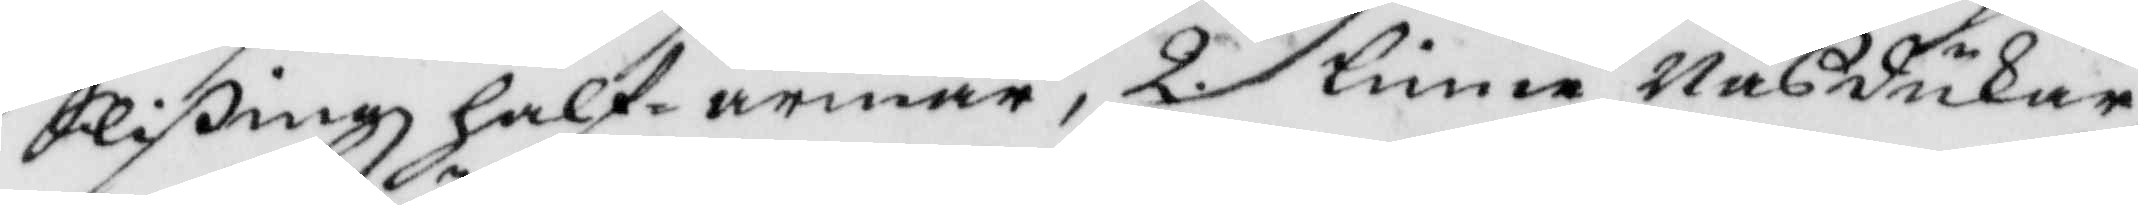Slißingz half armar, 2. linne Näsdukar 
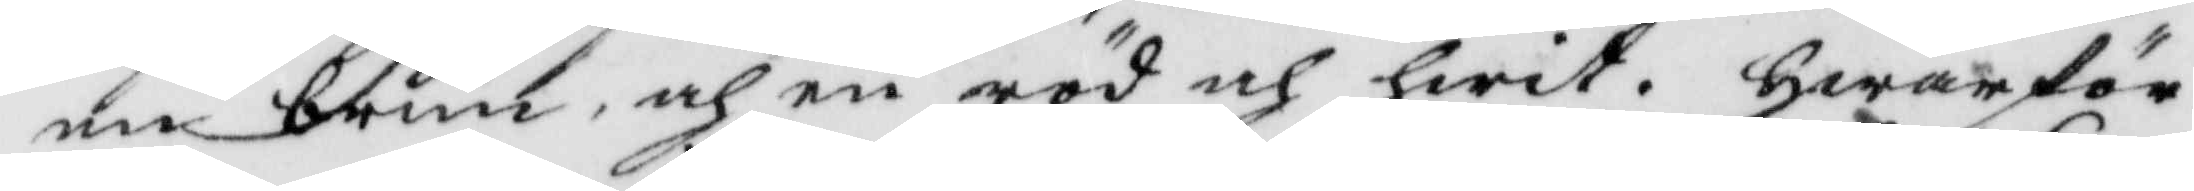en brun, och en röd och hwit, hwarför
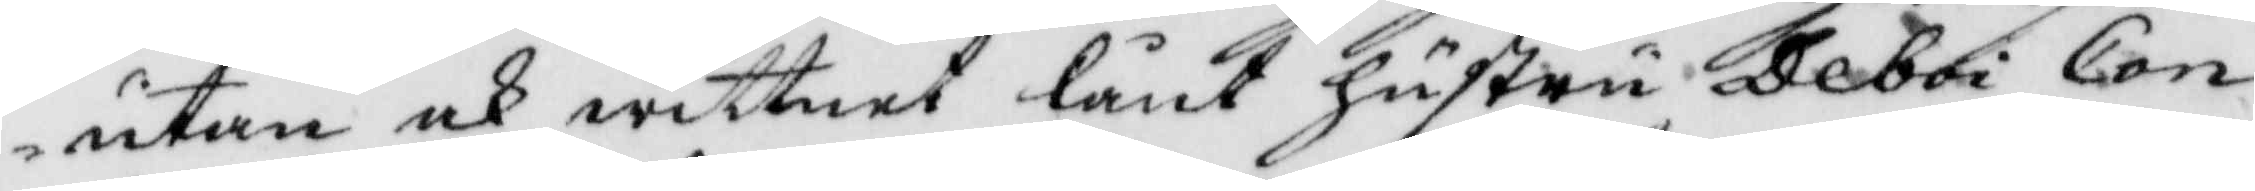utan ock wittnet lånt hustru Deboi Con¬
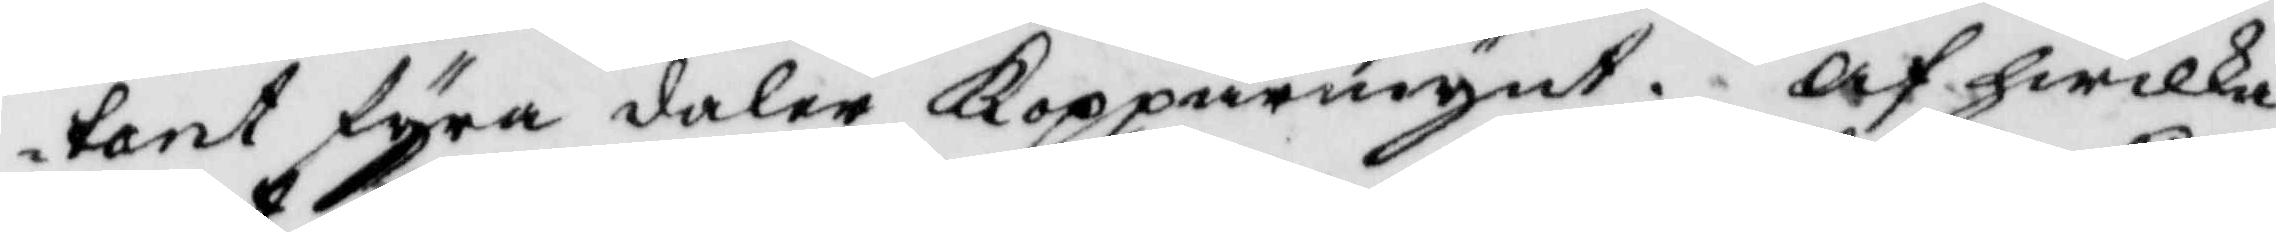tant fyra daler Kopparmynt. Af hwilka
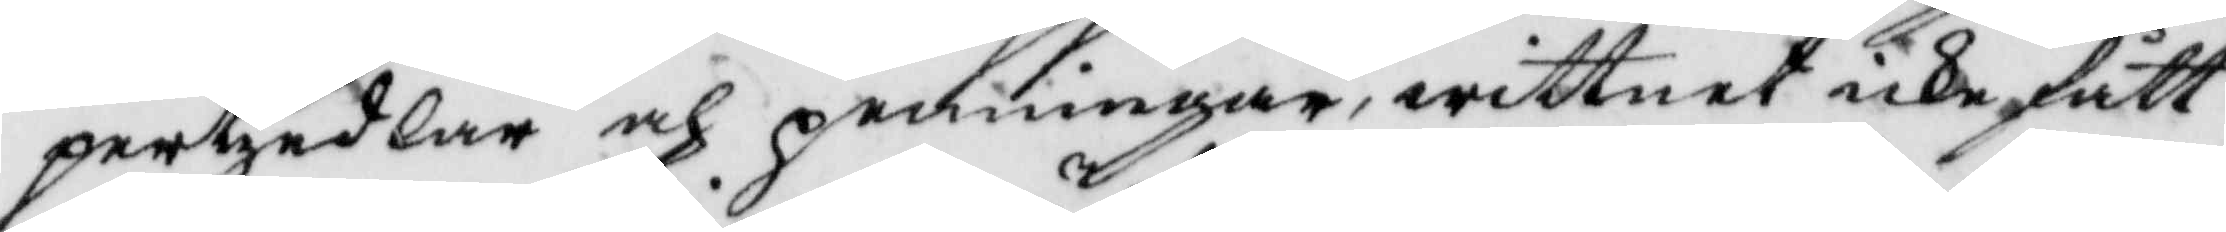pertzedlar och penningar, wittnet icke fått
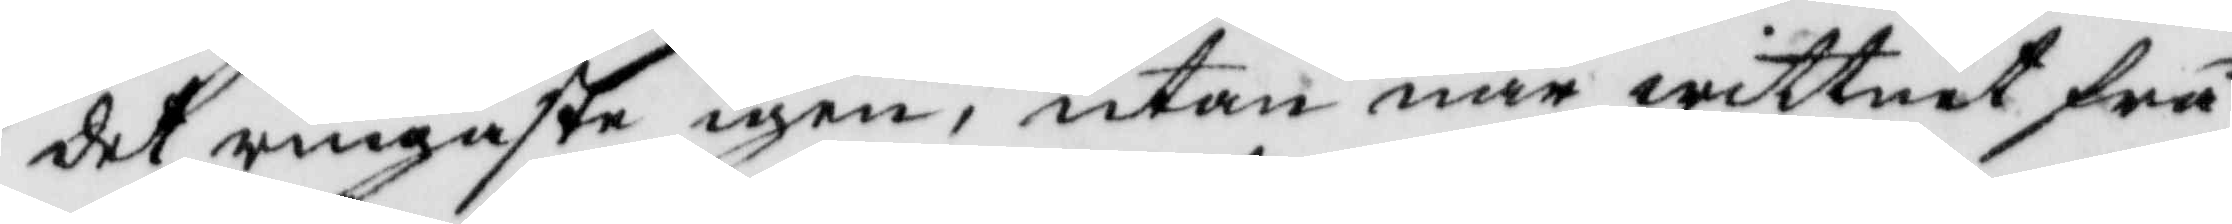det ringaste igen, utan när wittnet frå¬
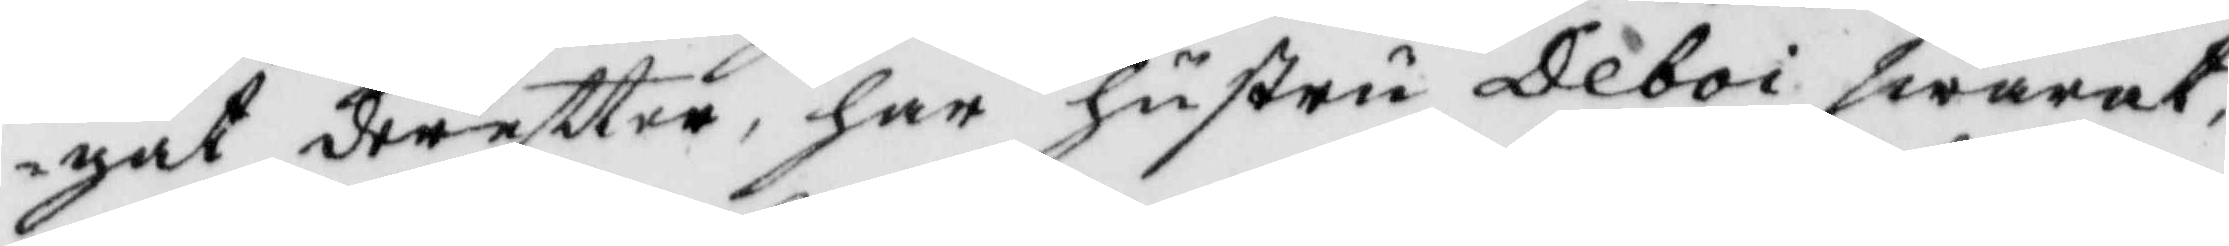gat dereftter, ahr hustru Deboi swarat,
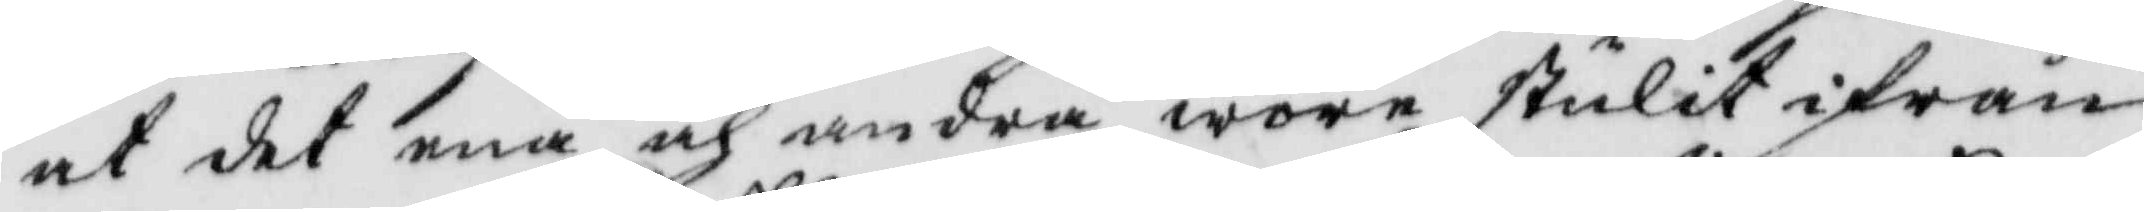at det ena och andra wore stulit ifrån
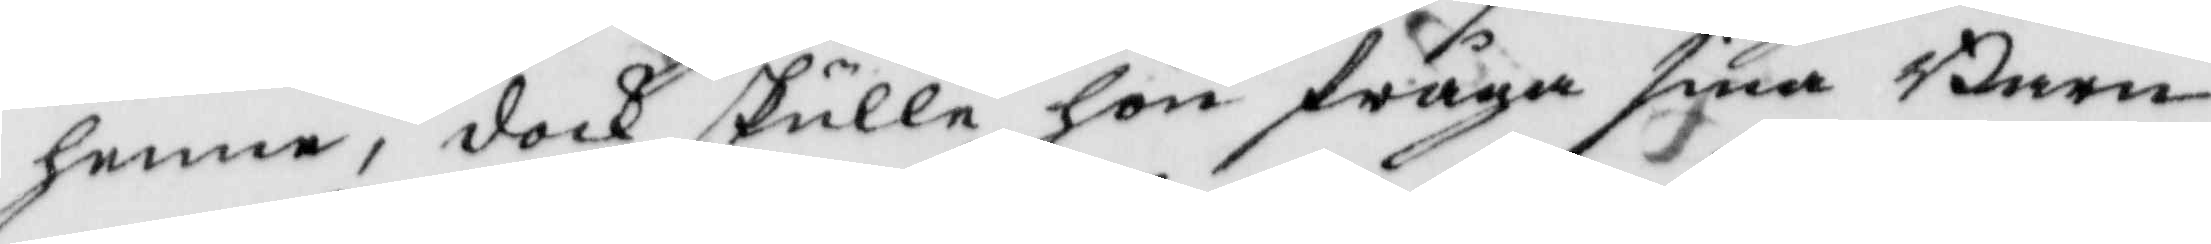henne, dock skulle hon fråga sina Barn
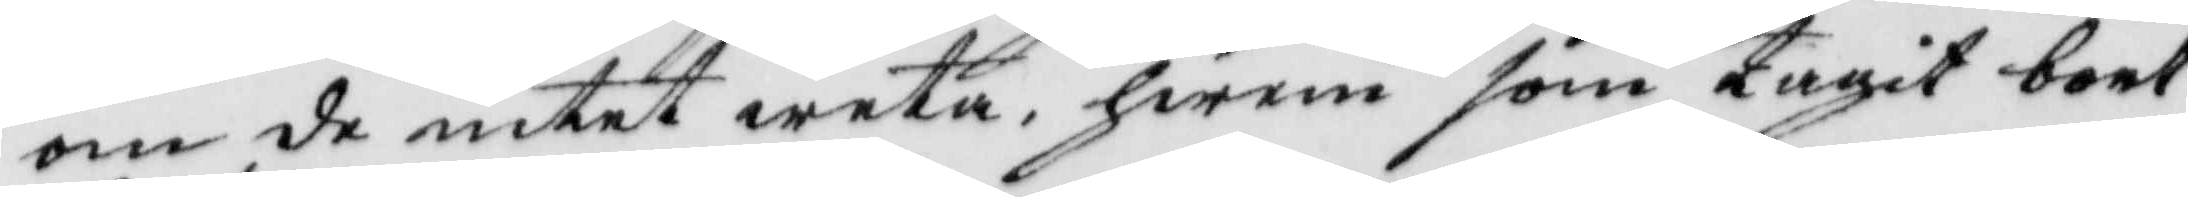om de intet weta hwem som tagit bort
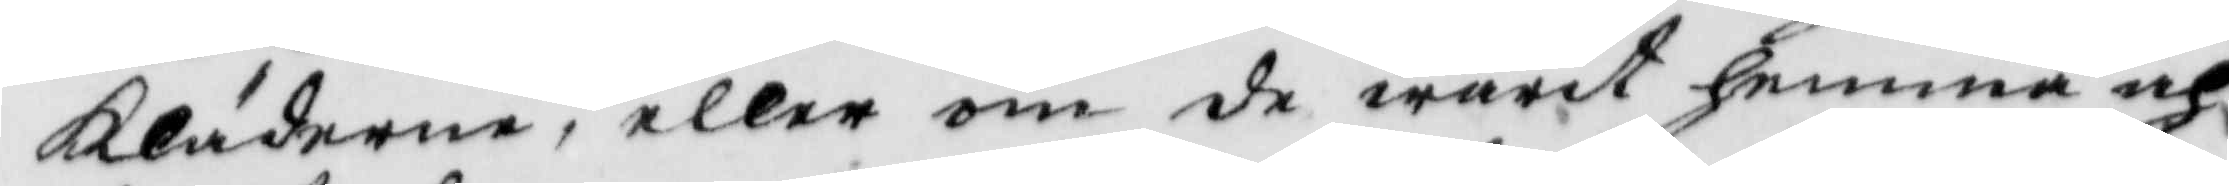Kläderne, eller om de warit hemma och
